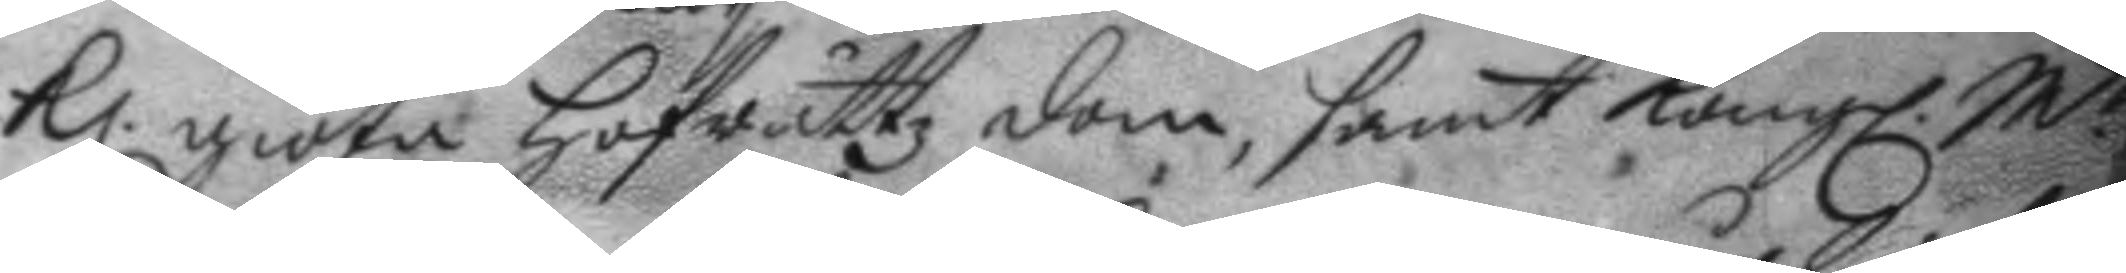Kl. giöta Hofrättz dom, samt Kongl. M.tt
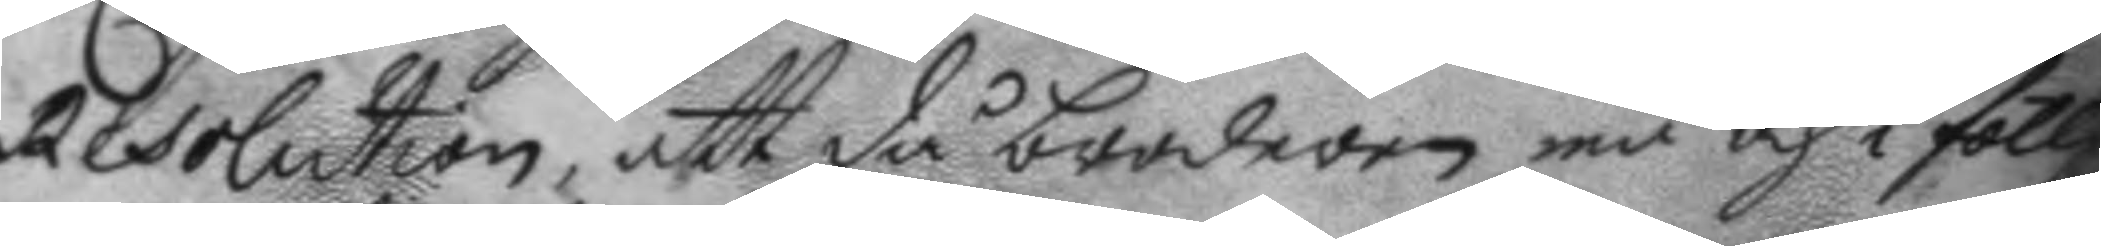Resolution, att då broderen må och i föllje
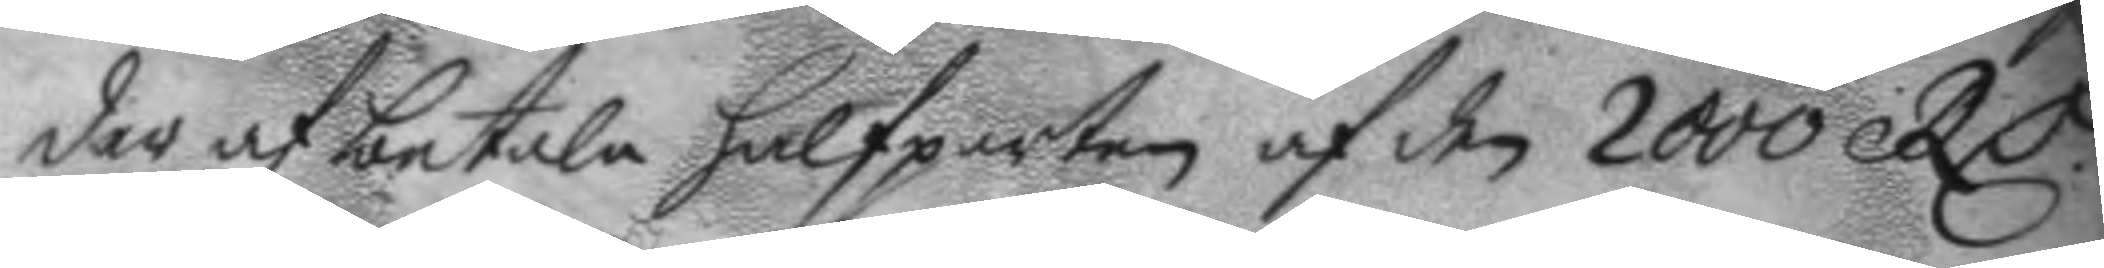der af betala halfparten af den 2000 RC.
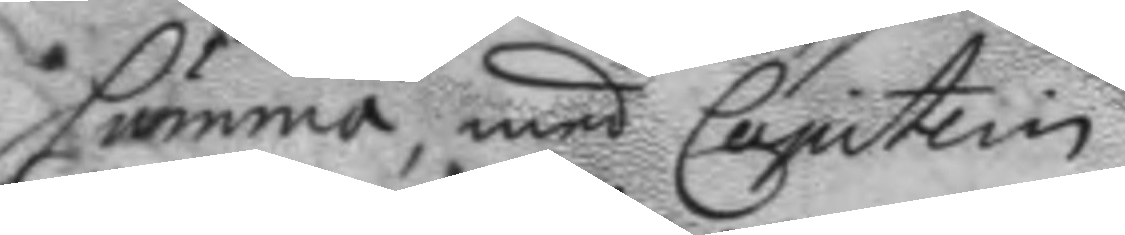summa, med Capitein.
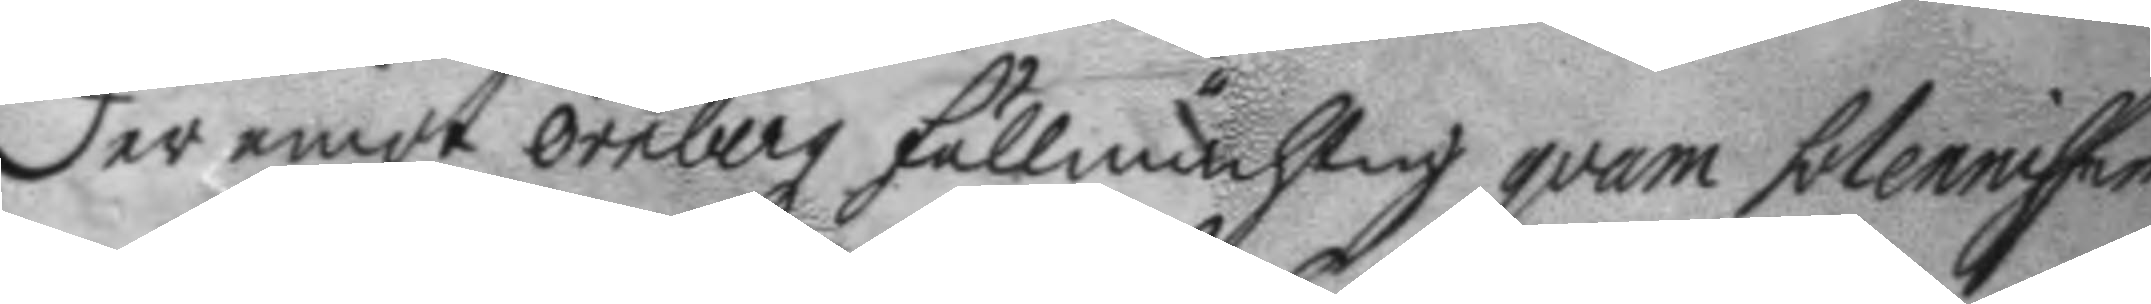Der emot örnberg fullmächtig qvam solennisser
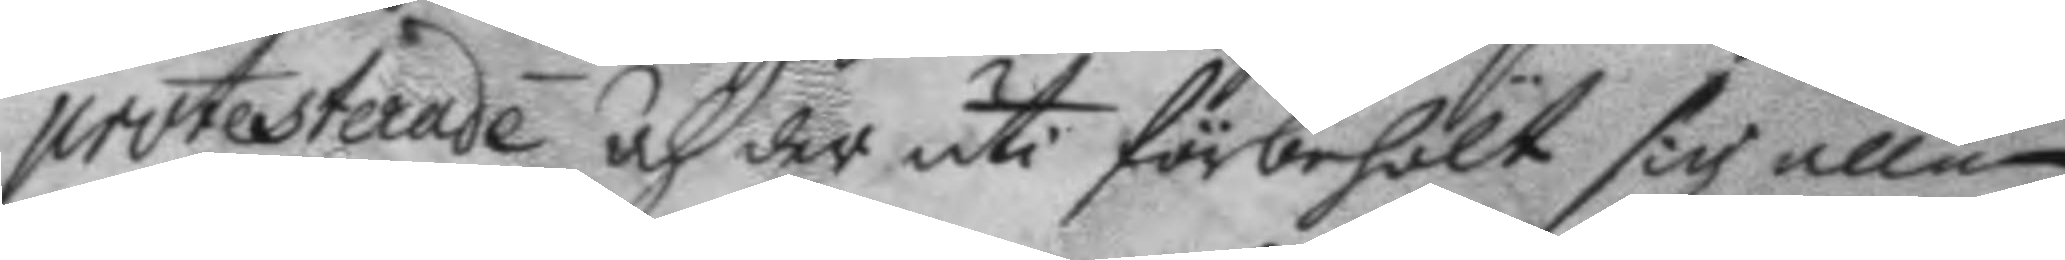protesterade och der uti förbehölt sig allen
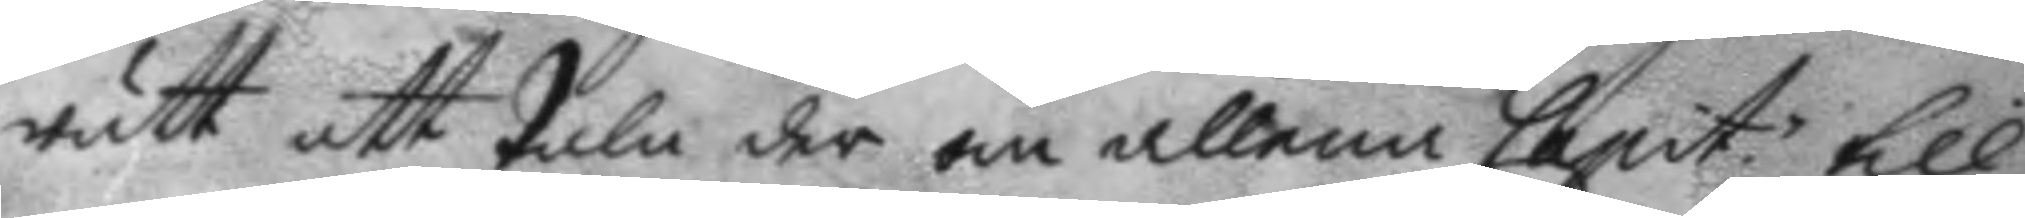rätt att tala der om allena Capit; till
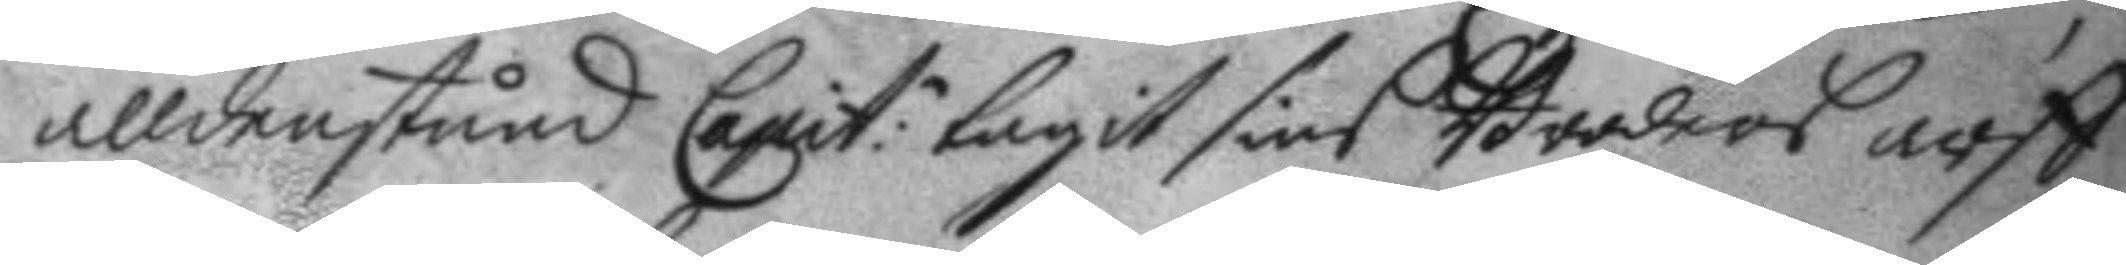alldenstund Capit:n tagit sins Broders arff
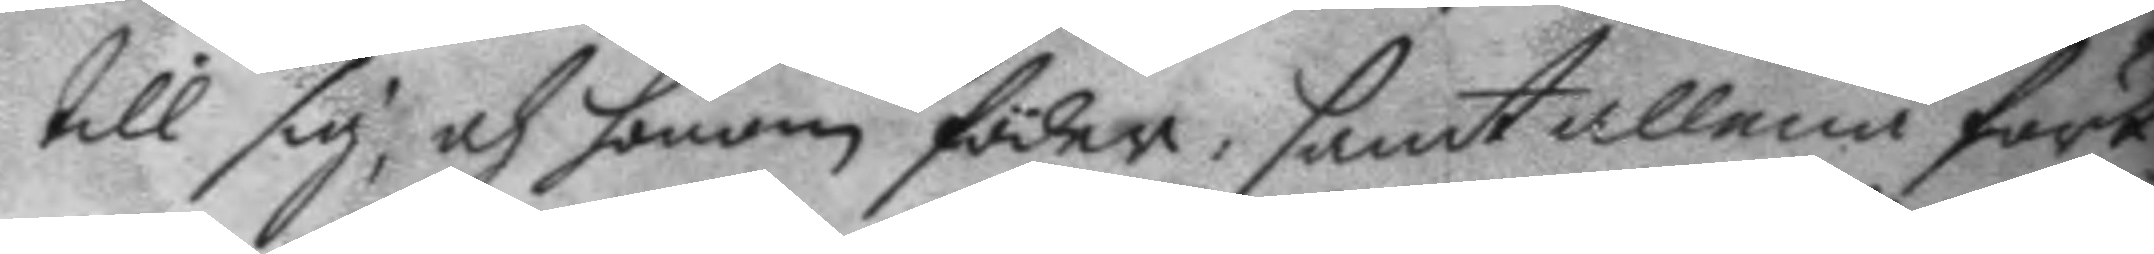till sig, och honom föder, samt allena först
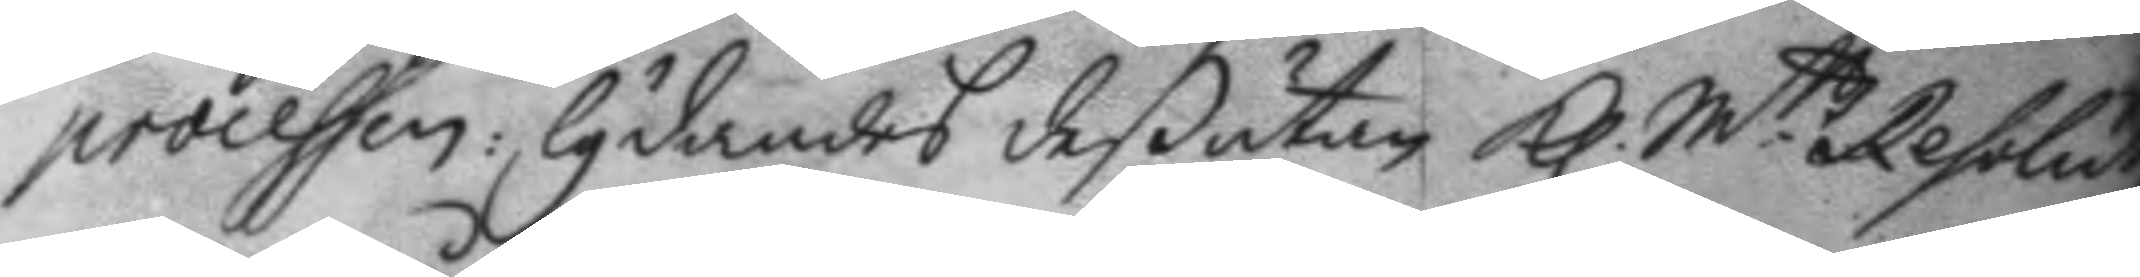processen: lydandes deßutan Kl. M.ttz Resolut
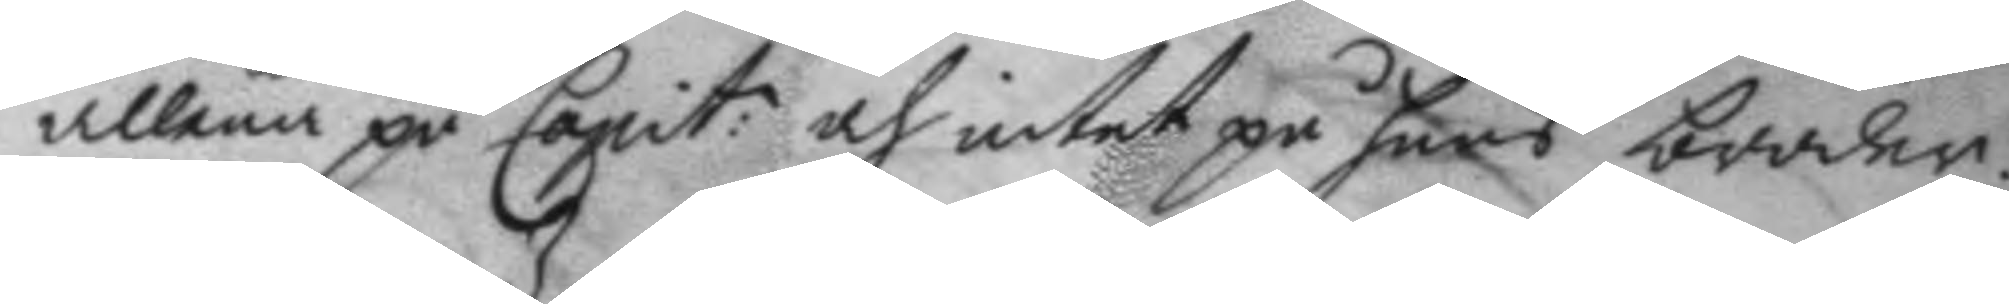allena på Capit: och intet på hans broder.
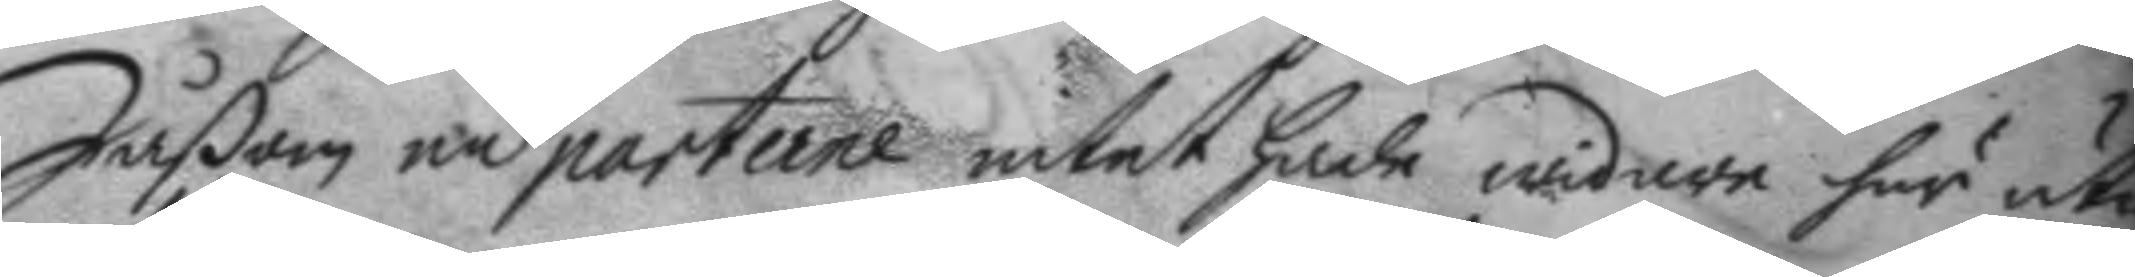Såßom nu parterne intet hade widare här uti
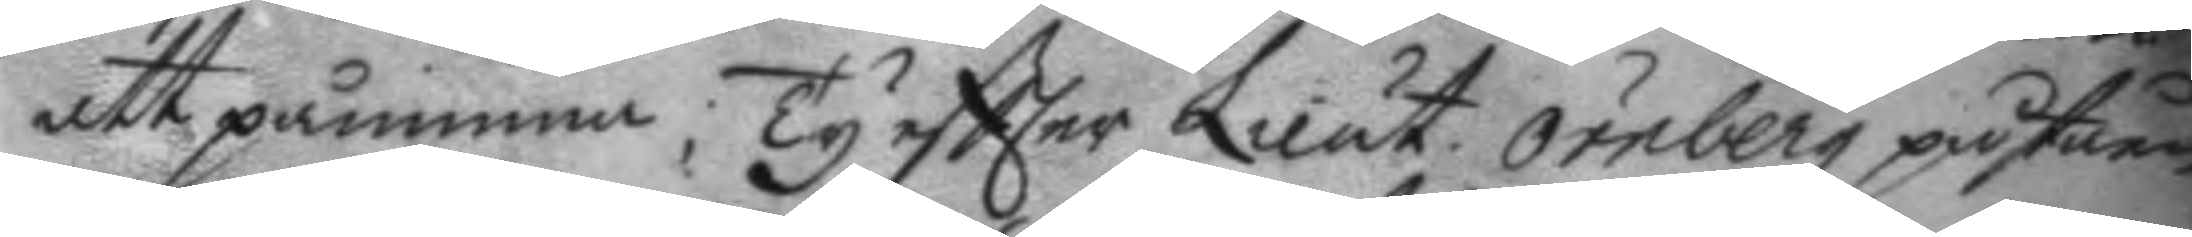att påminna; Ty eftter Lieut. örnberg påståen¬
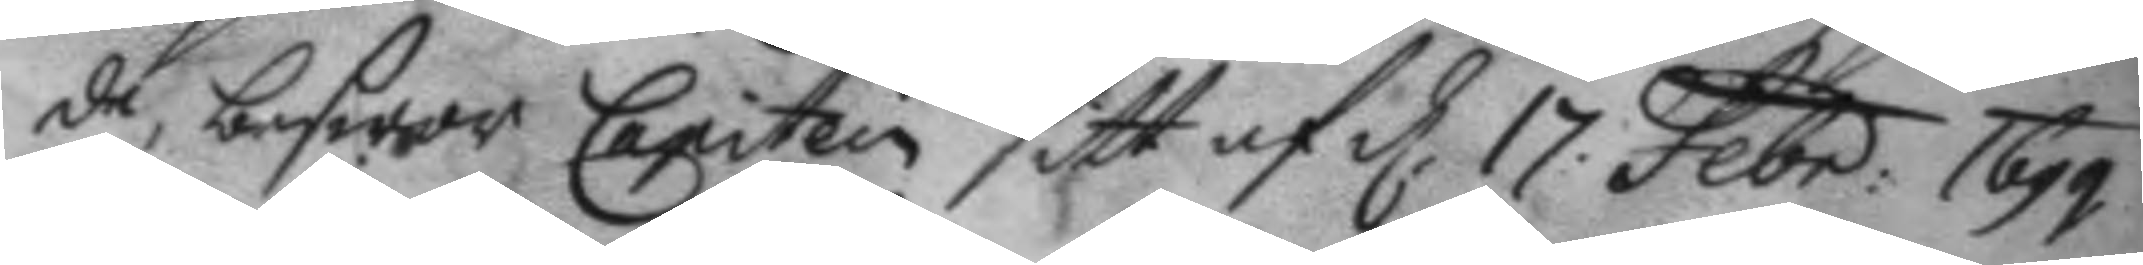de, beswor Capitein sitt af d. 17 Febr: 1699
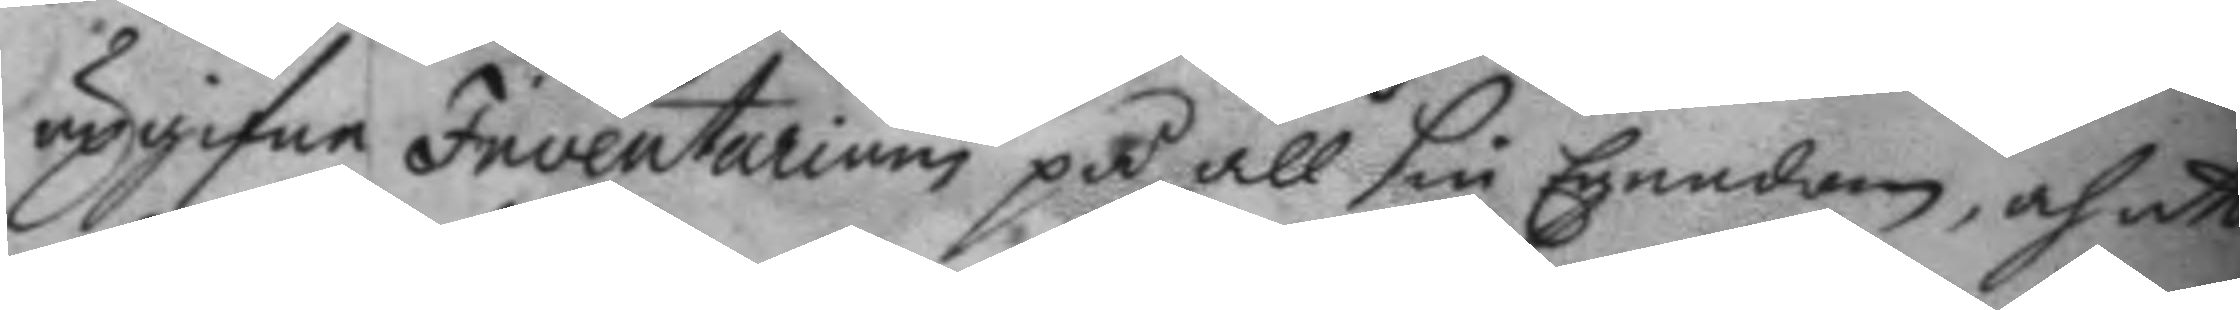upgifne Inventarium på all sin Egendom, och att
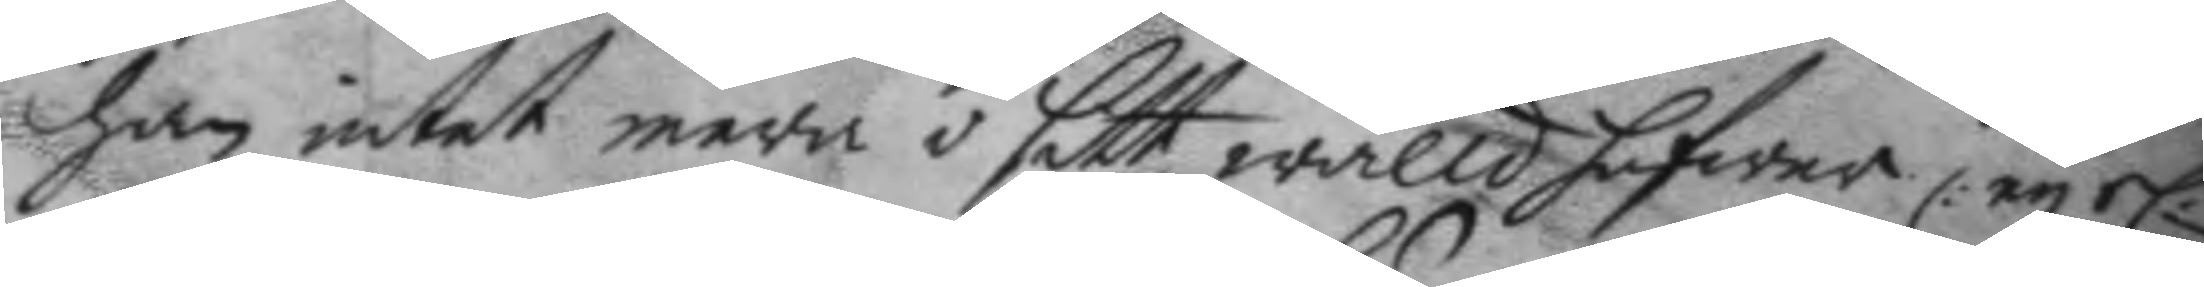han intet mera i sitt wåld hafwer ey el.r
